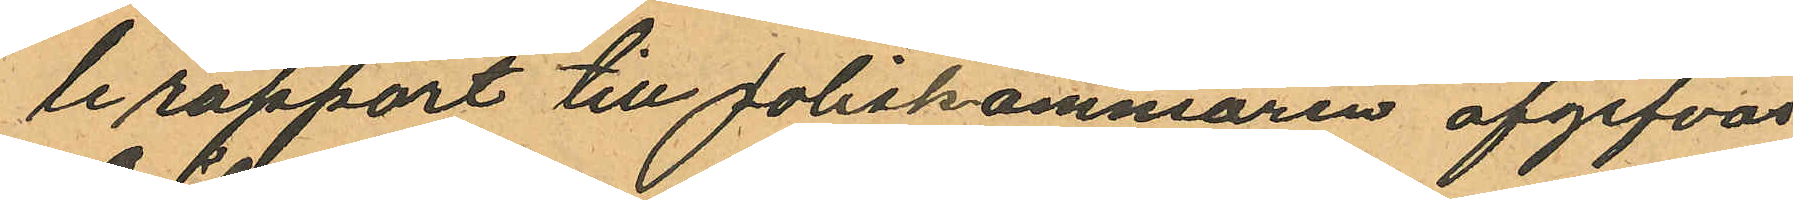le rapport till Poliskammaren afgifvas.
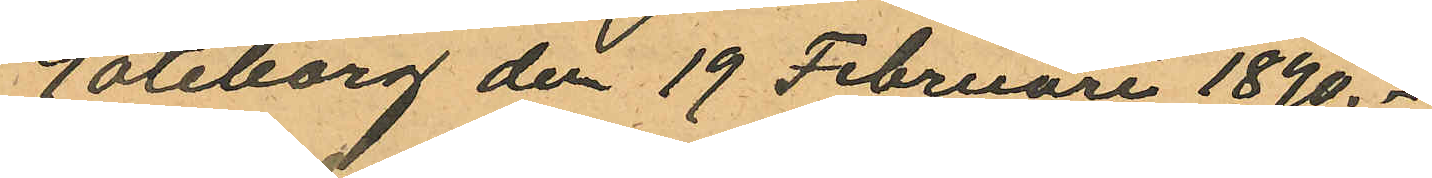öreborg den 19 Februari 1890.
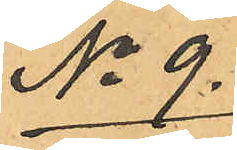No 9.
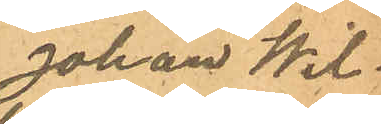Johan Wil¬
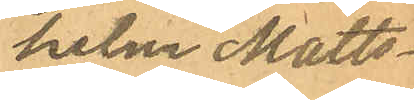helm Matts¬
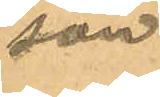son
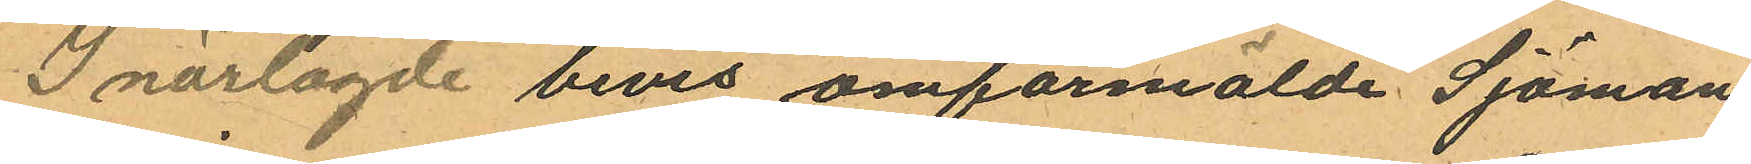I närlagde bevis omförmälde Sjöman
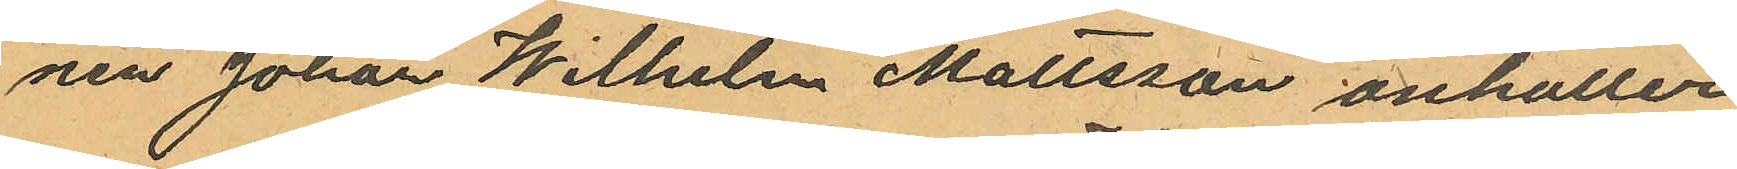nen Johan Wilhelm Mattsson anhåller
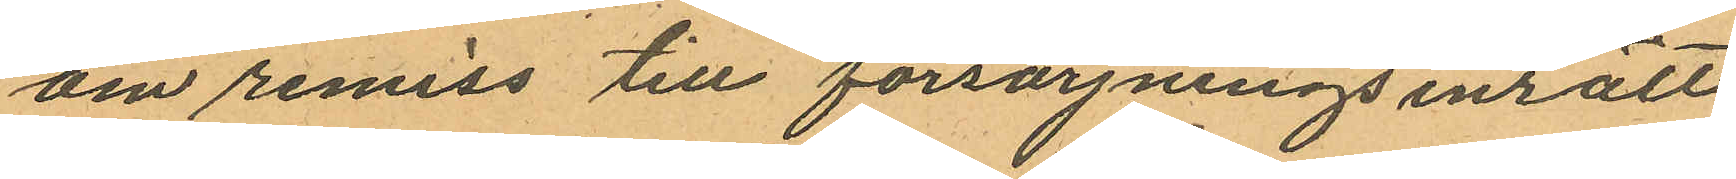om remiss till försörjningsinrätt¬
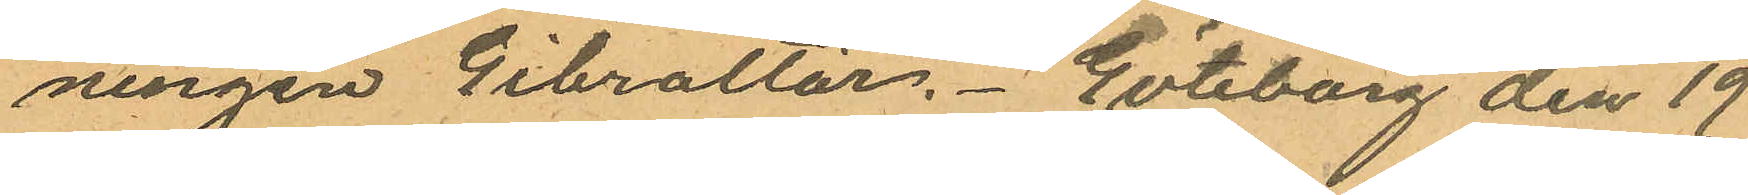ningen Gibraltar. Göteborg den 19
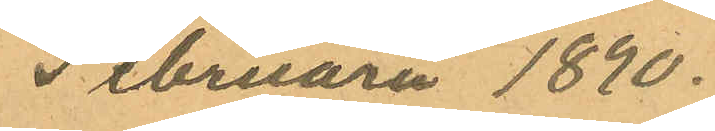Februari 1890.
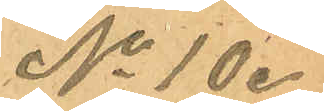No 10.
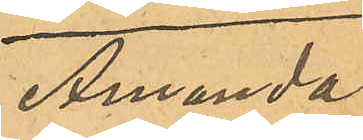Amanda
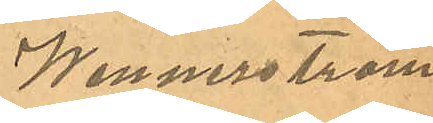Wennerström
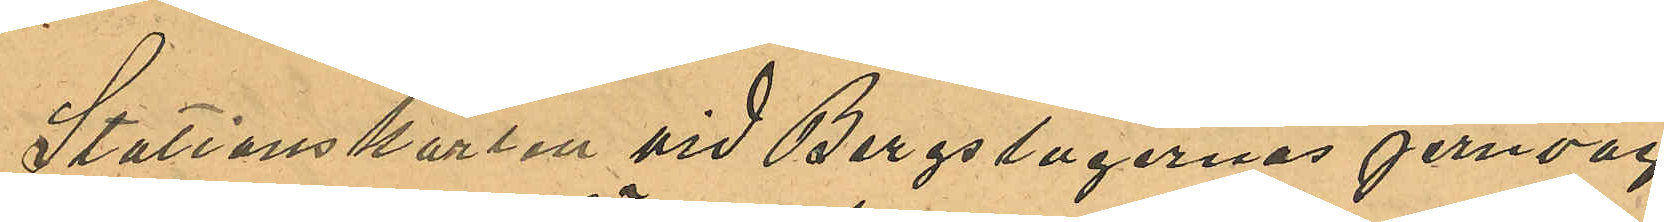Stationskarlen vid Bergslagernas jernväg
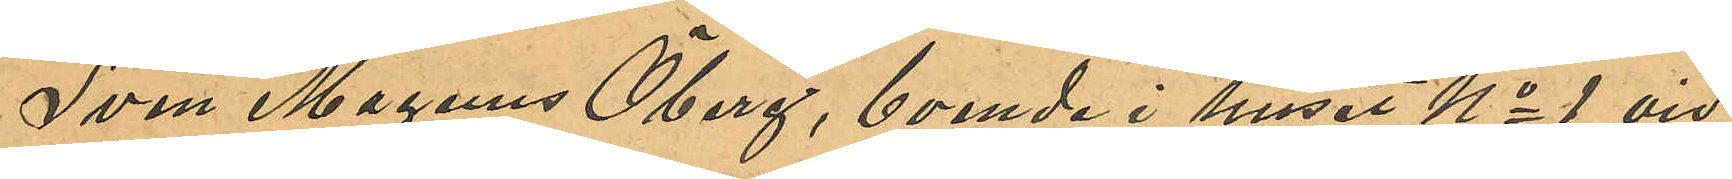Sven Magnus Öberg, boende i huset No 1 vid
